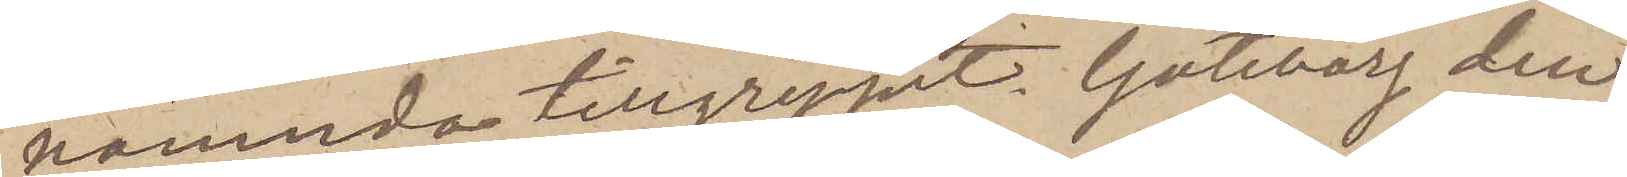nämnda tillgreppet. Göteborg den
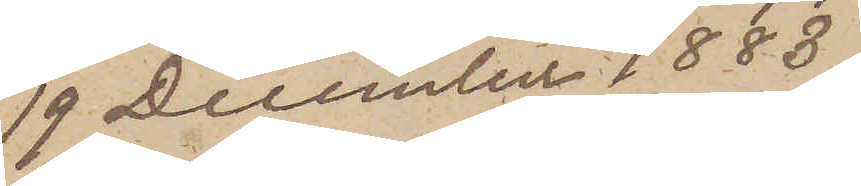19 December 1883.
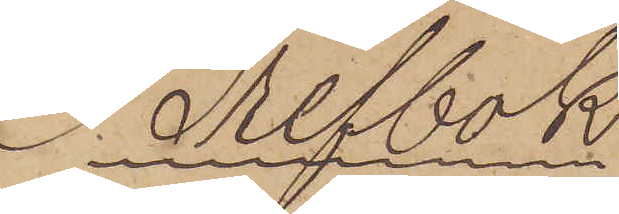Brefbok
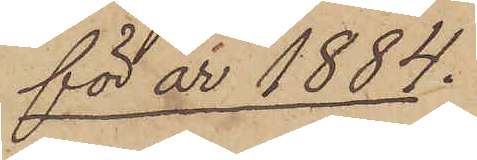för år 1884.
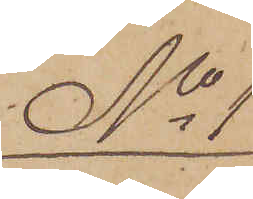No 1
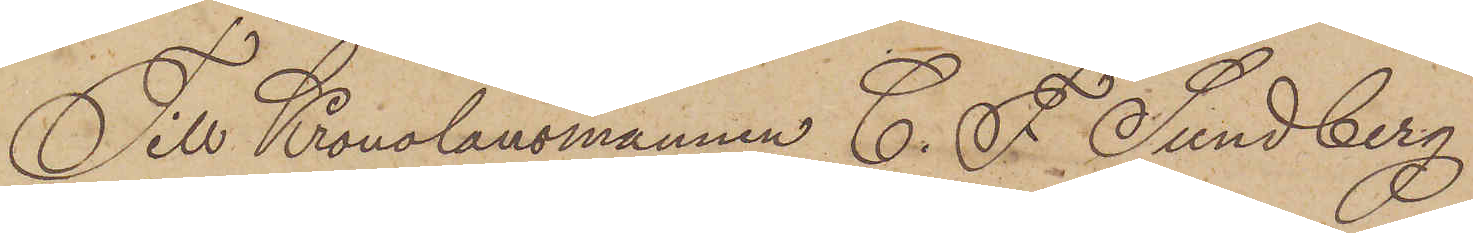Till Konolänsmannen C. F. Sundberg
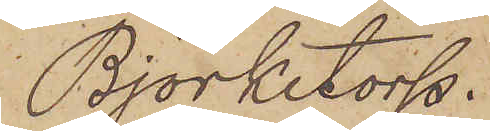Björketorp.
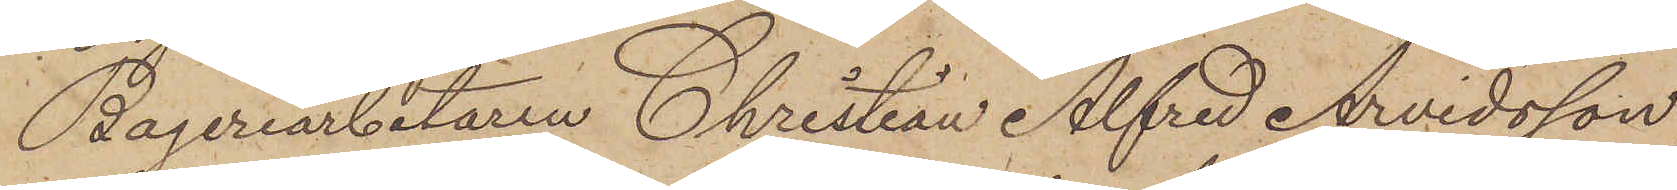Bageriarbetaren Christian Alfred Arvidsson,
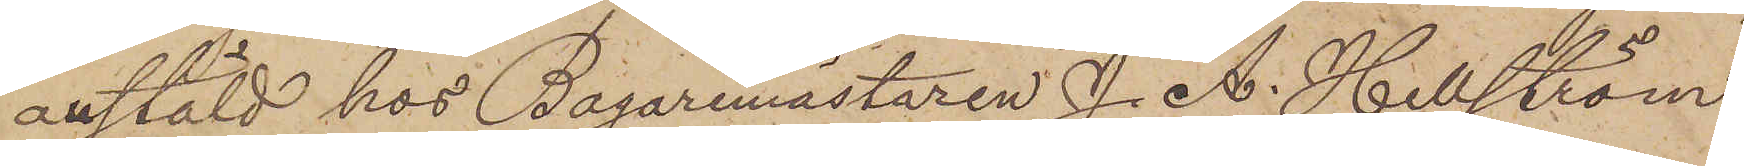anstäld hos Bagaremästaren J. A. Hellström,
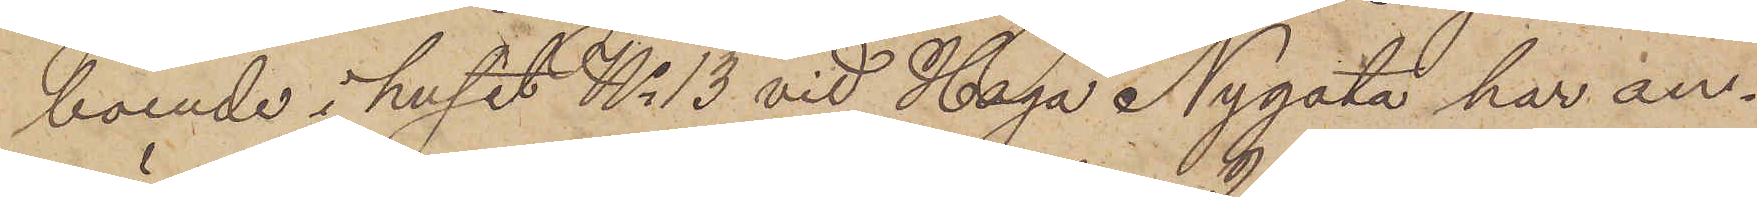boende i huset No 13 vid Haga Nygata har an¬
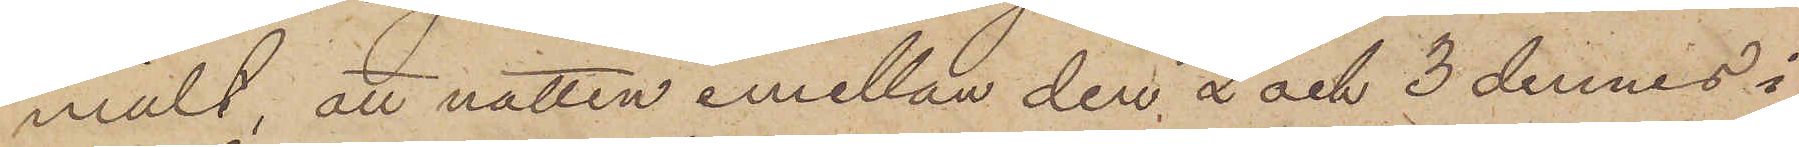mält, att natten emellan den 2 och 3 dennes i
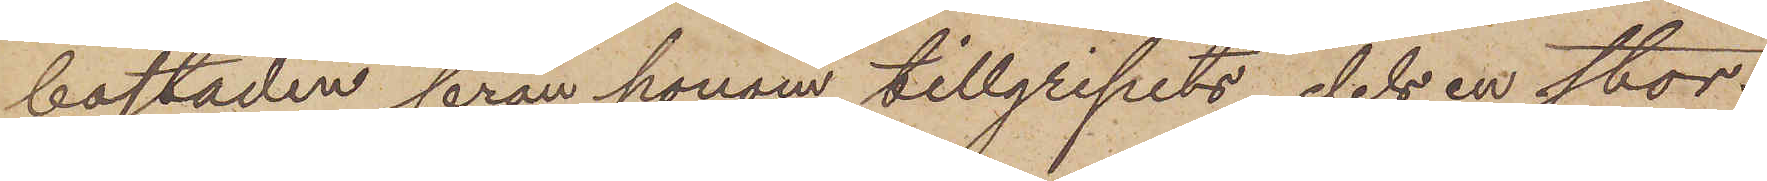bostaden från honom tillgripits, dels en stor¬
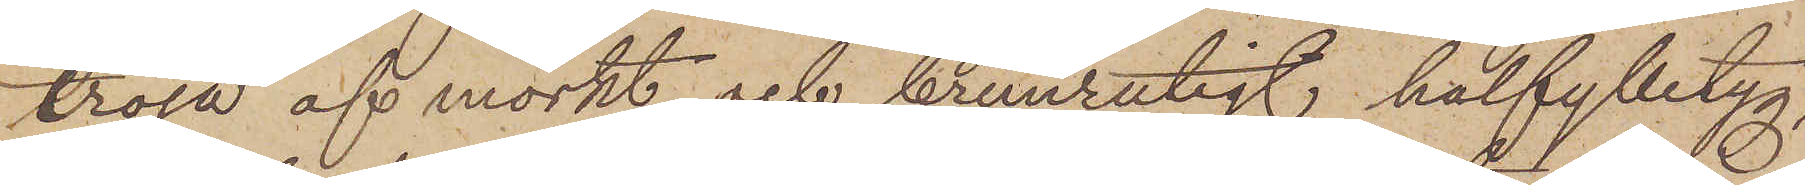tröja af mörkt och brunrutigt halfylletyg,
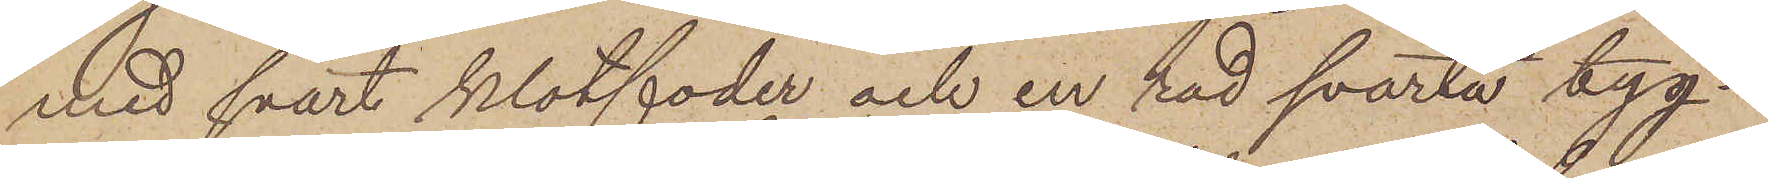med svart klotfoder och en röd svarta tyg¬
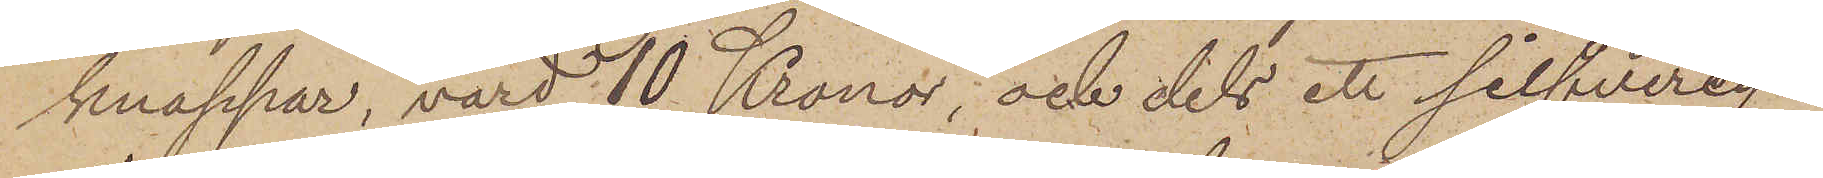knappar, värd 10 Kronor; och dels ett silfvercy¬
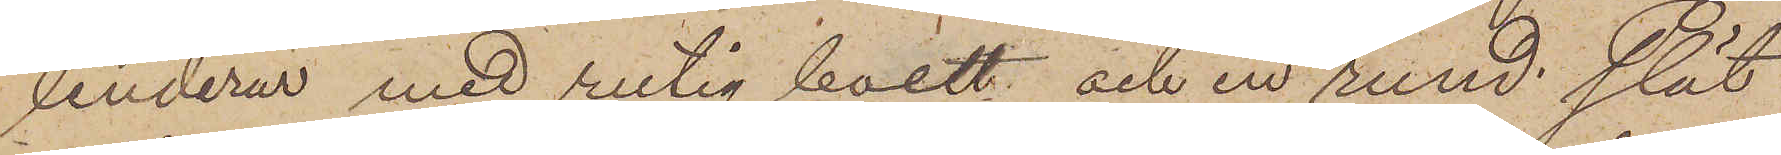linderur med rutig boett och en rund slät
